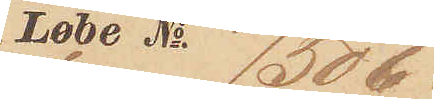Løbe No 7506.
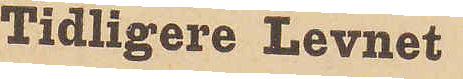Tidligere Levnet
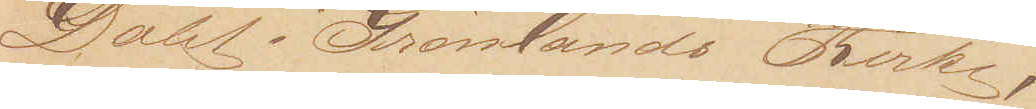Døbt i Grønlands Kirke,
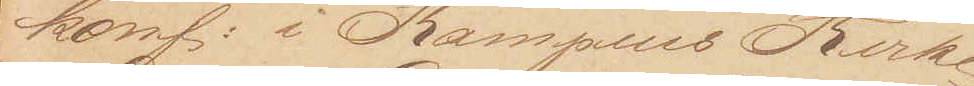konf: i Kampens Kirke,
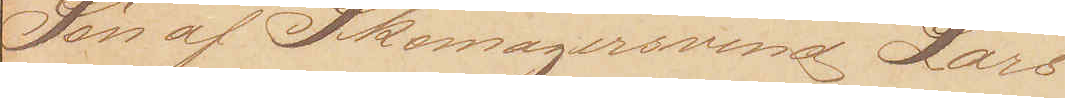Søn af Skomagersvend Lars
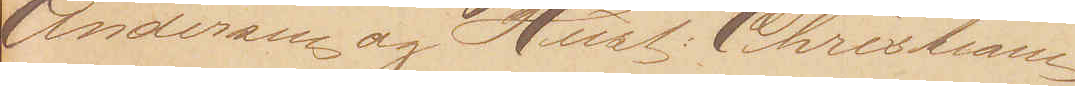Andersen og Hust: Christiane
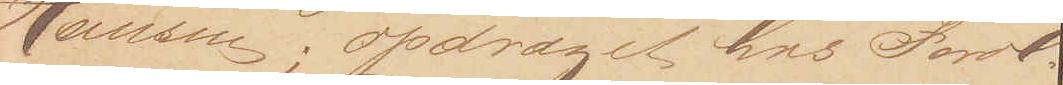Hansen; opdraget hos Foræl¬
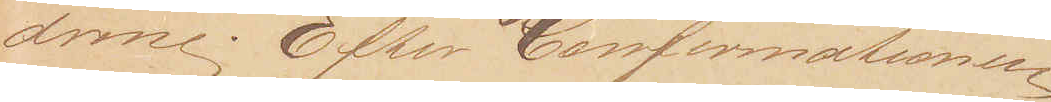drene. Efter Confirmationen
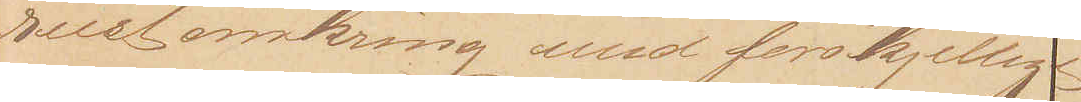reist omkring med forskjellige
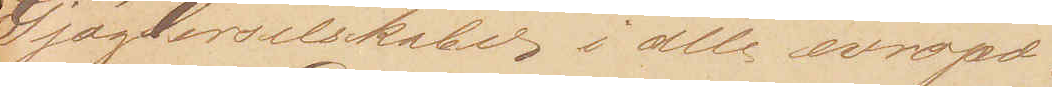Gjøglerselskaber  i alle evropæ¬
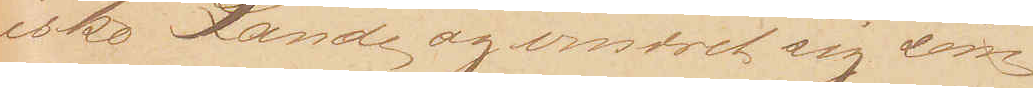iske Lande og ernæret sig som
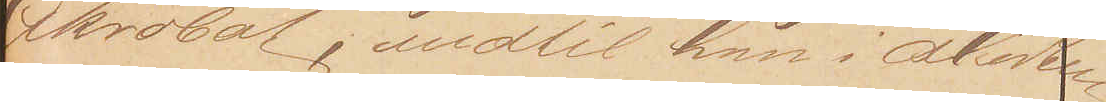Akrobat, indtil han i Midten
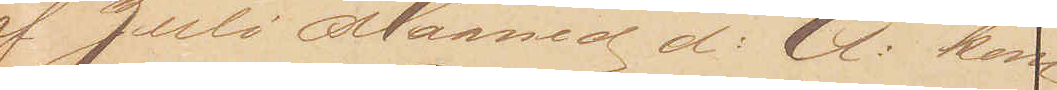af Juli Maaned d: A: kom
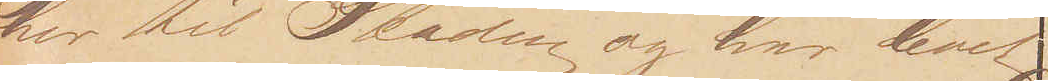her til Staden og har levet 
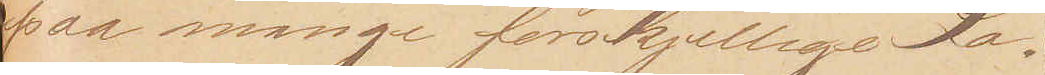paa mange forskjellige Lo¬
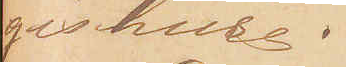gishuse.
